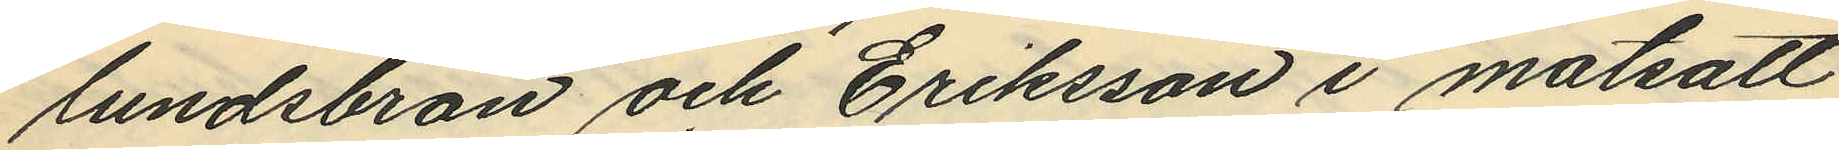lundsbron och Eriksson i motsatt
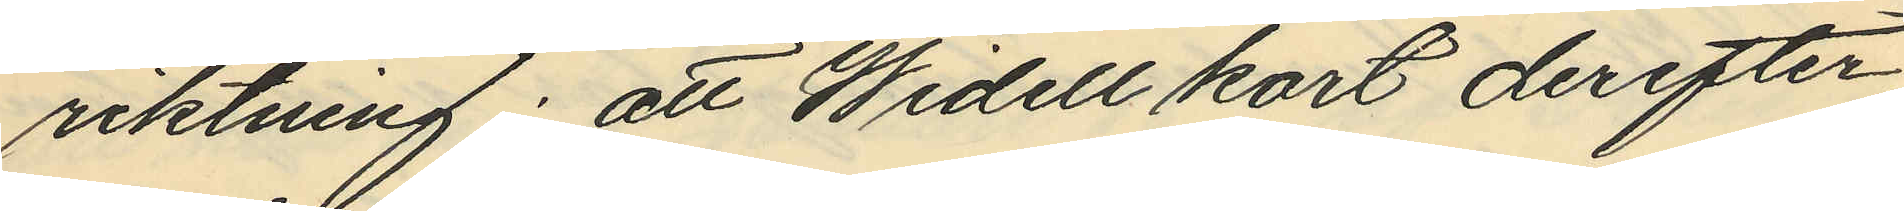riktning; att Widell kort derefter
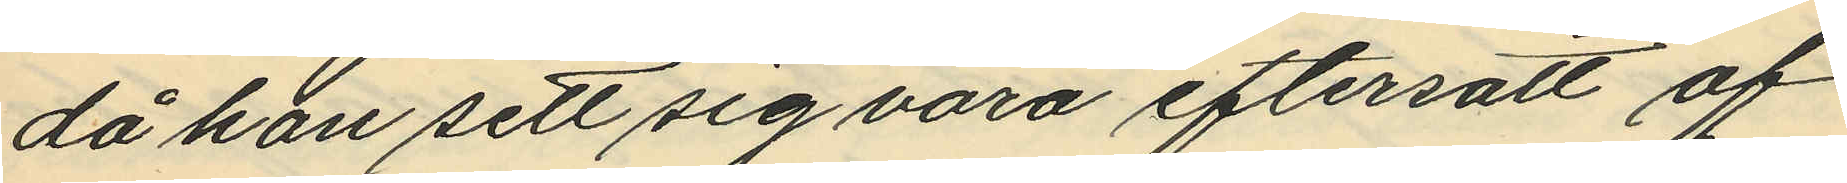då han sett sig vara eftersatt af
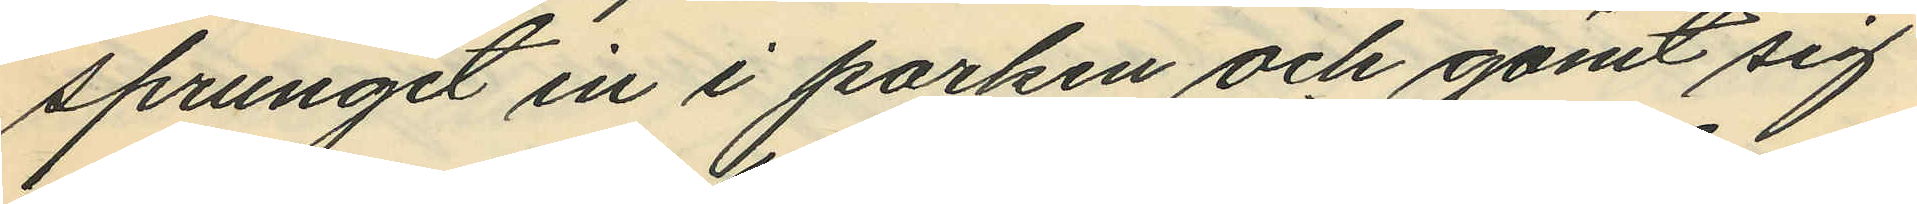sprungit in i parken och gömt sig
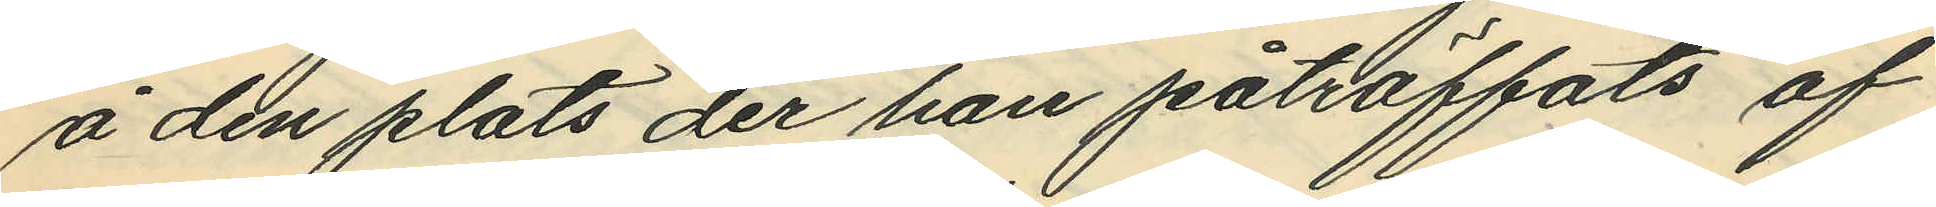å den plats der han påträffats af
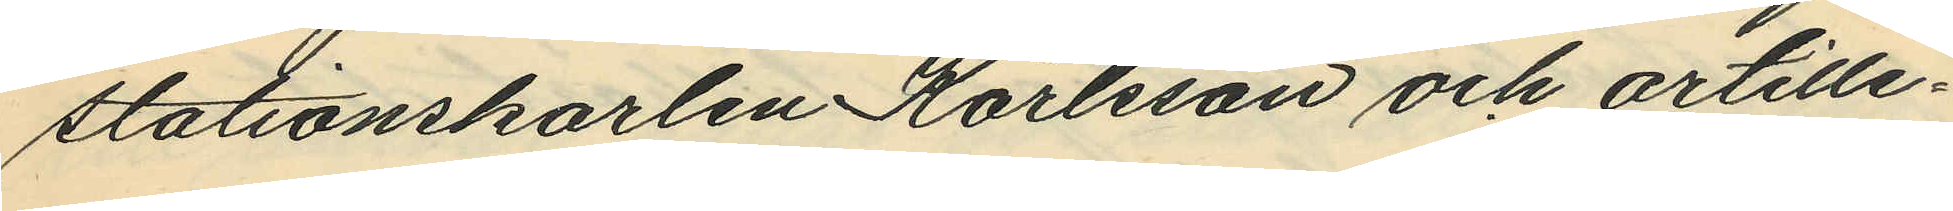stationskarlen Karlsson och artille¬
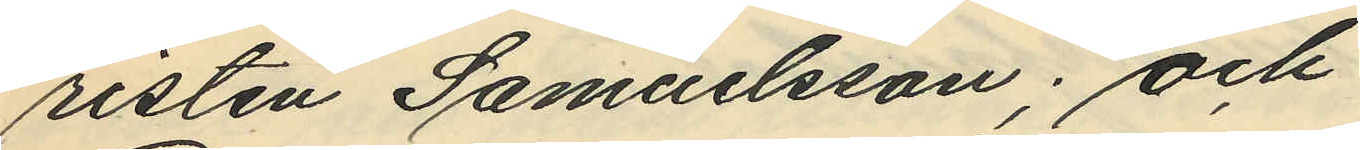risten Samuelsson; och
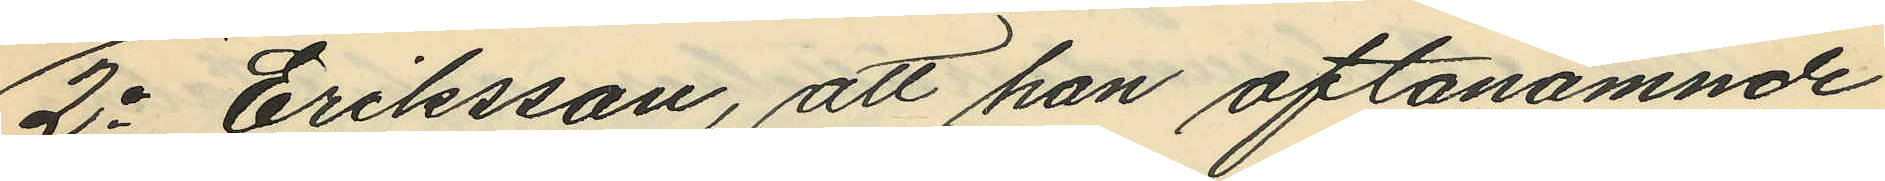2o Eriksson, att han oftanämnde
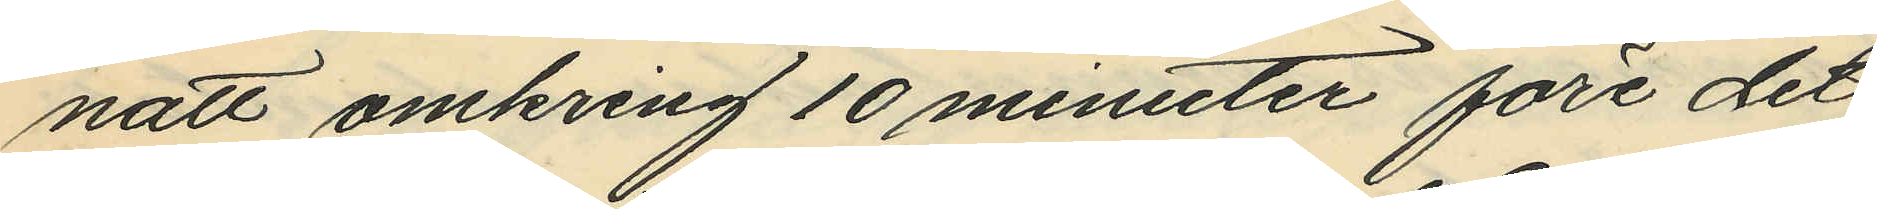natt omkring 10 minuter före det
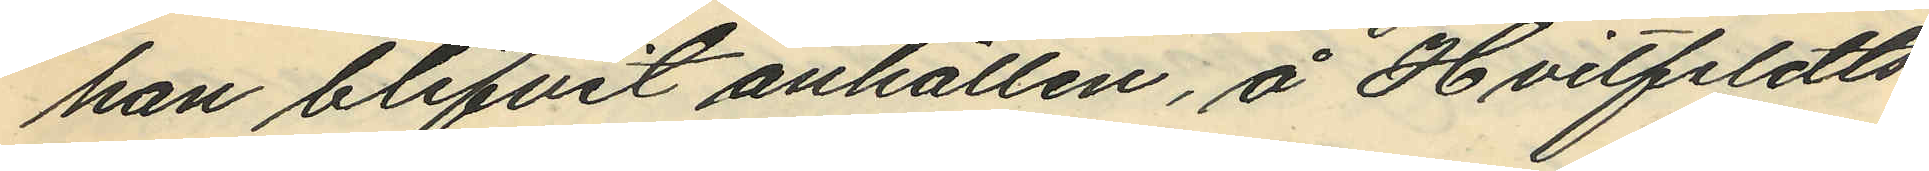han blifvit anhållen, å Hvitfeldts¬
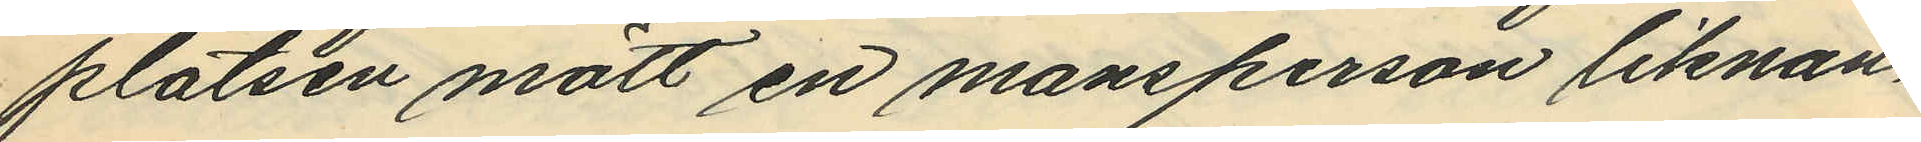platsen mött en mansperson liknan¬
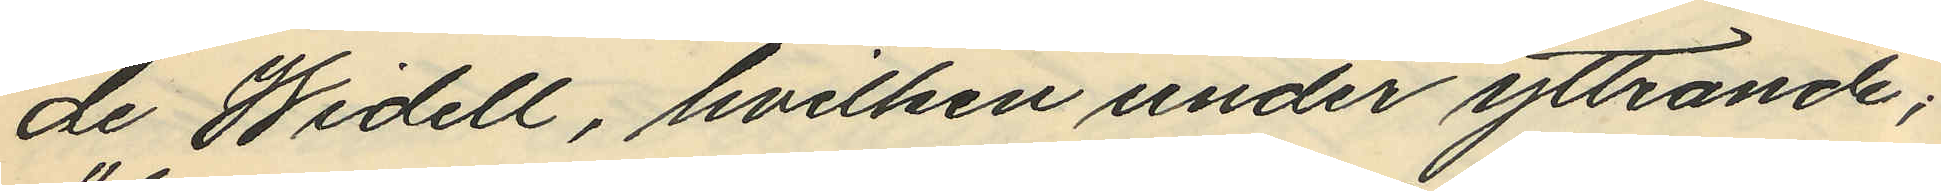de Widell, hvilken under yttrande;
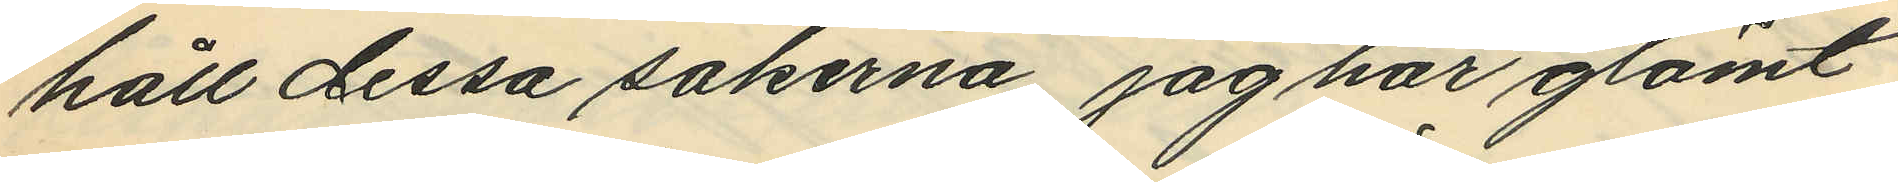"håll dessa sakerna, jag har glömt
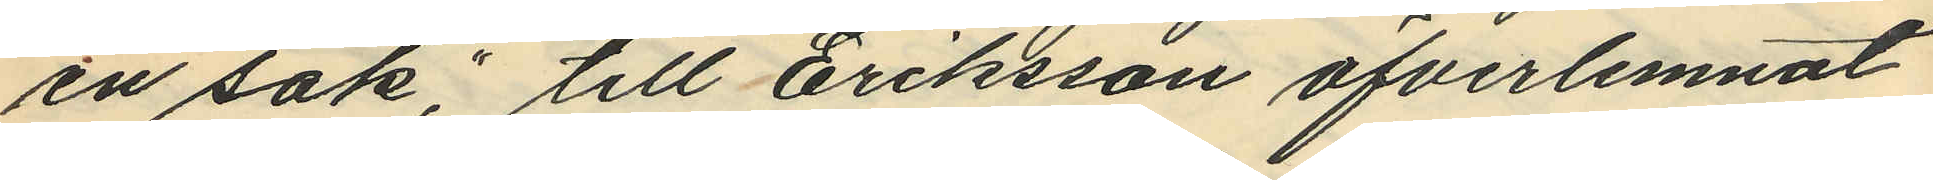en sak," till Eriksson öfverlemnat
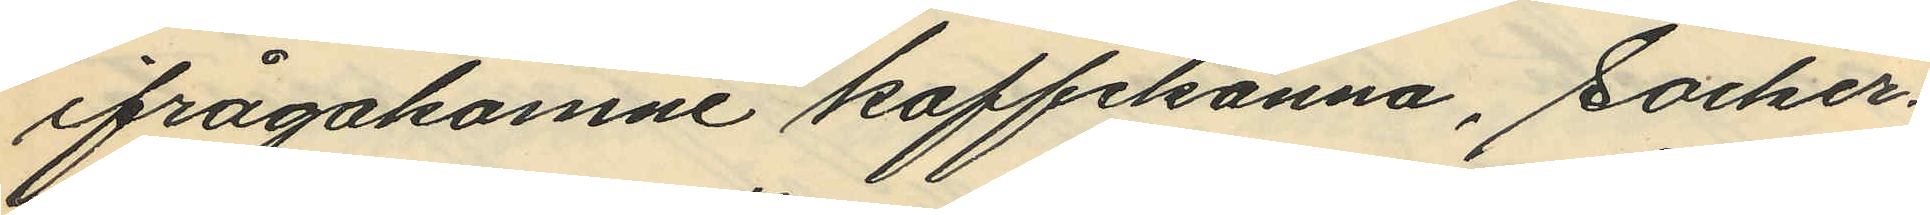ifrågakomne kaffekanna, socker¬
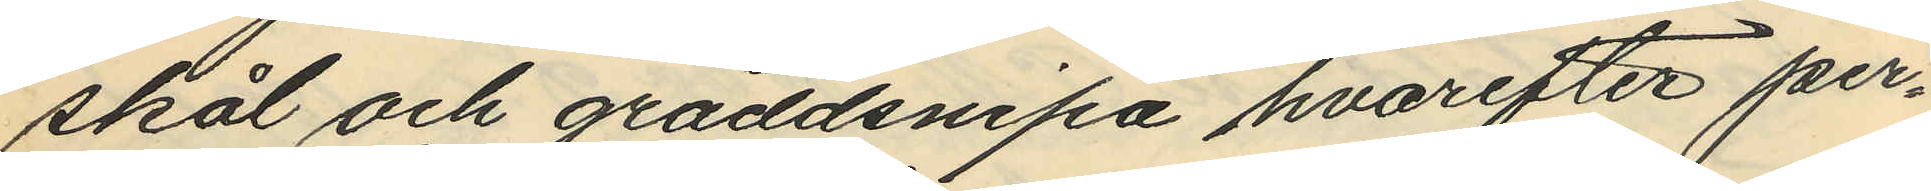skål och gräddsnipa hvarefter per¬
